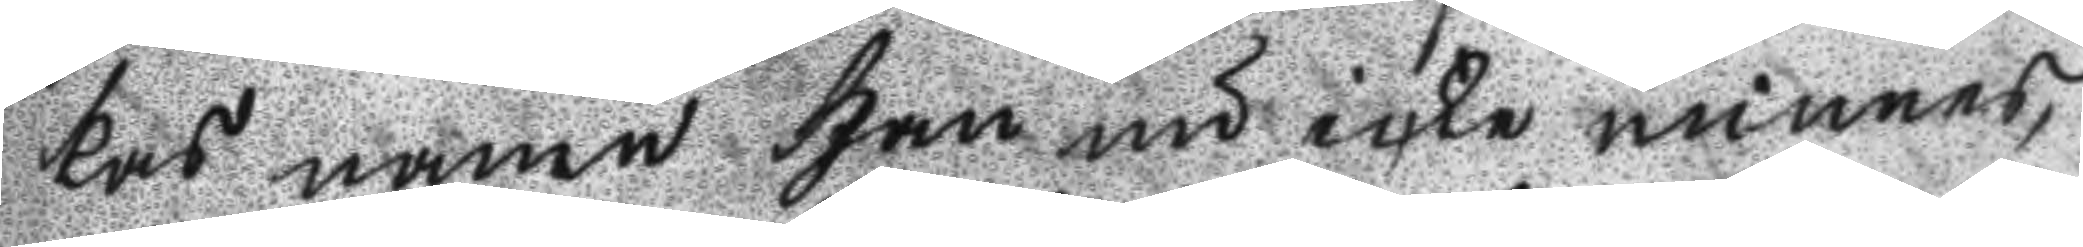kas namn han nu icke minnes
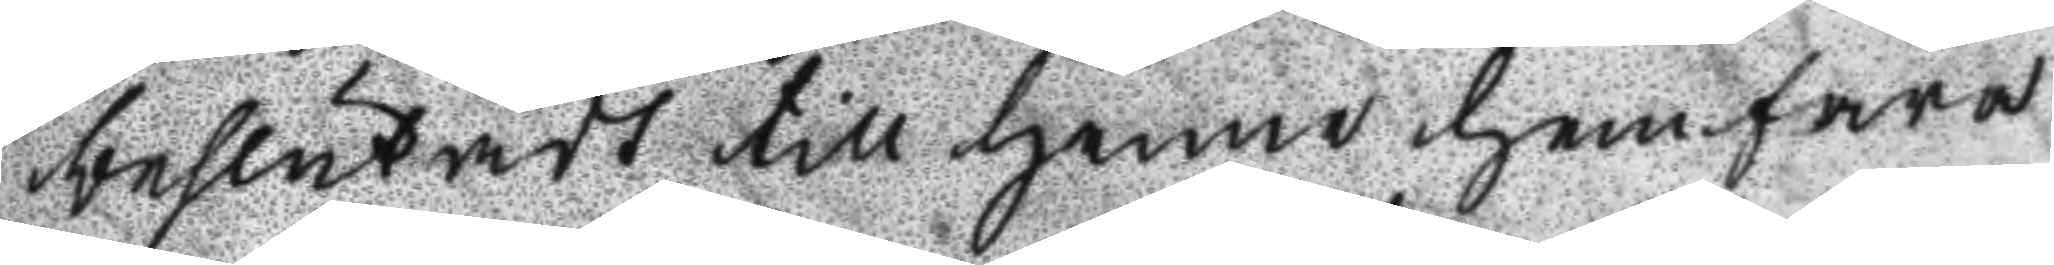beslutadt till henne hemfara
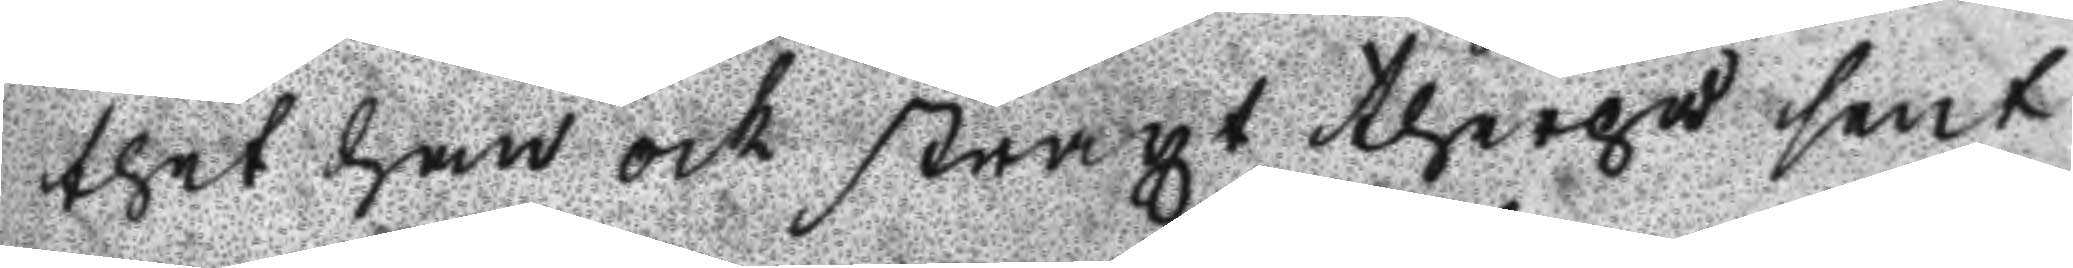thet han och straxt therpå sent
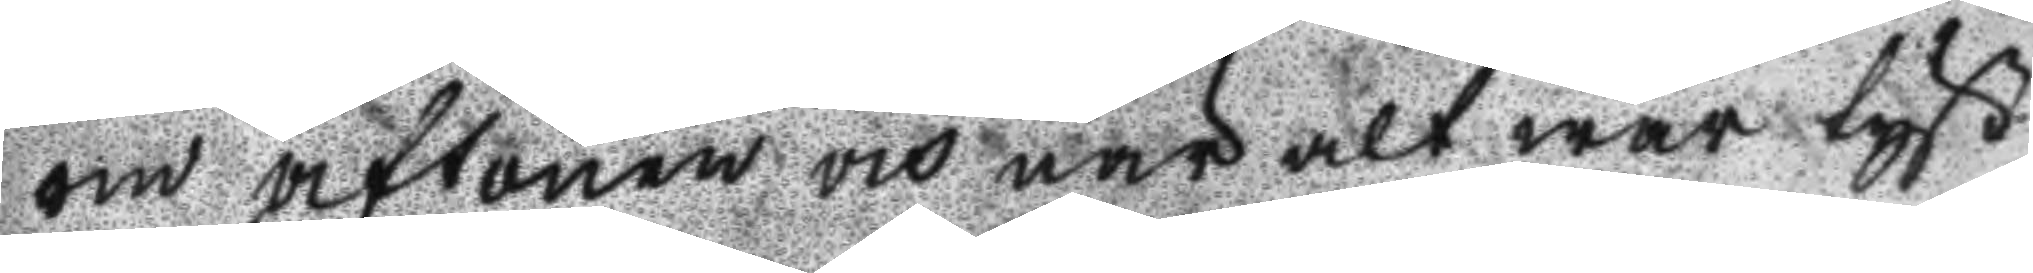om aftonen och när alt war tyst
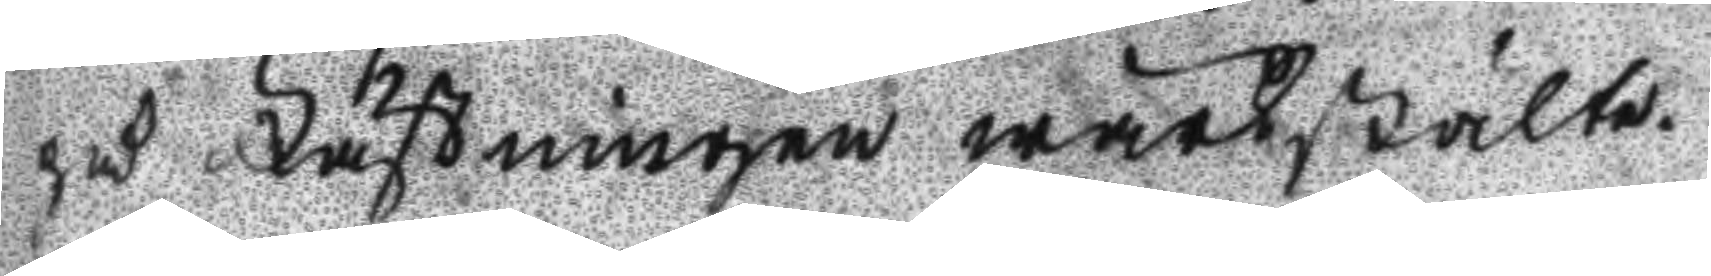på Fästningen wärkstälte.
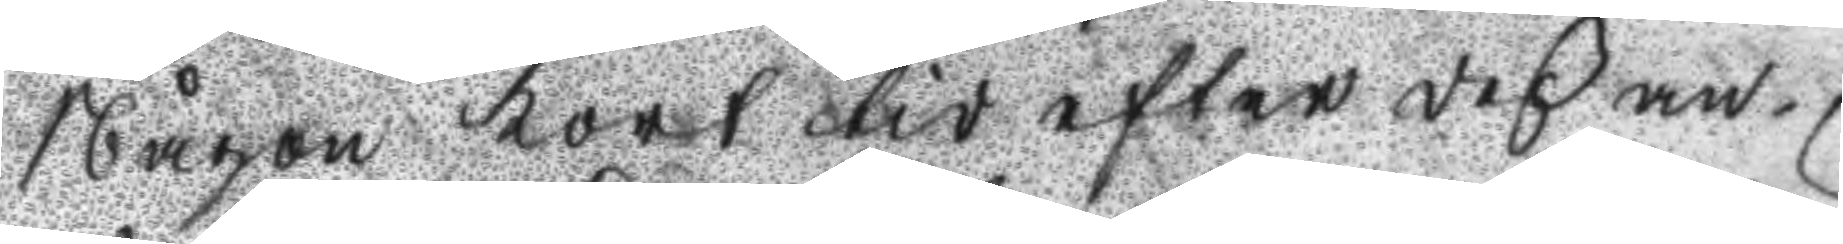Någon kort tid efter deß an¬
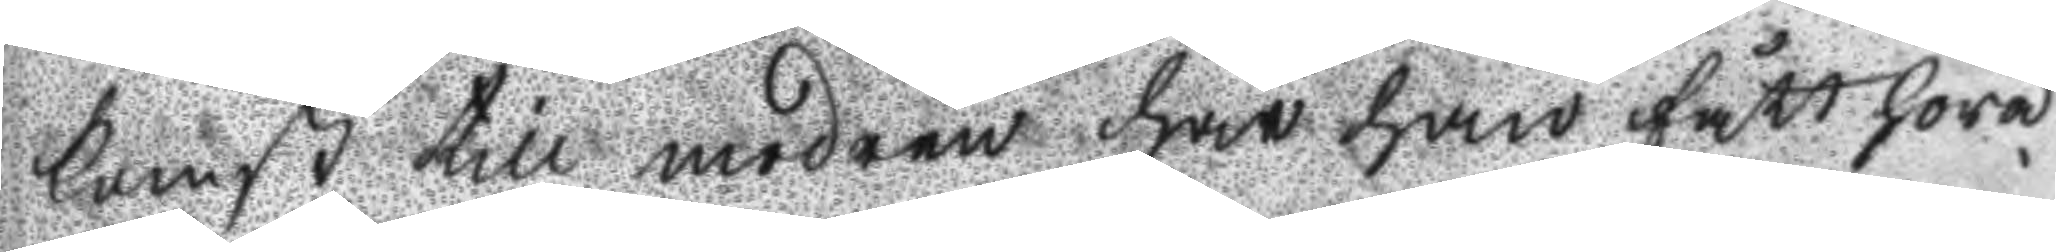komst till modren hat han fått höra
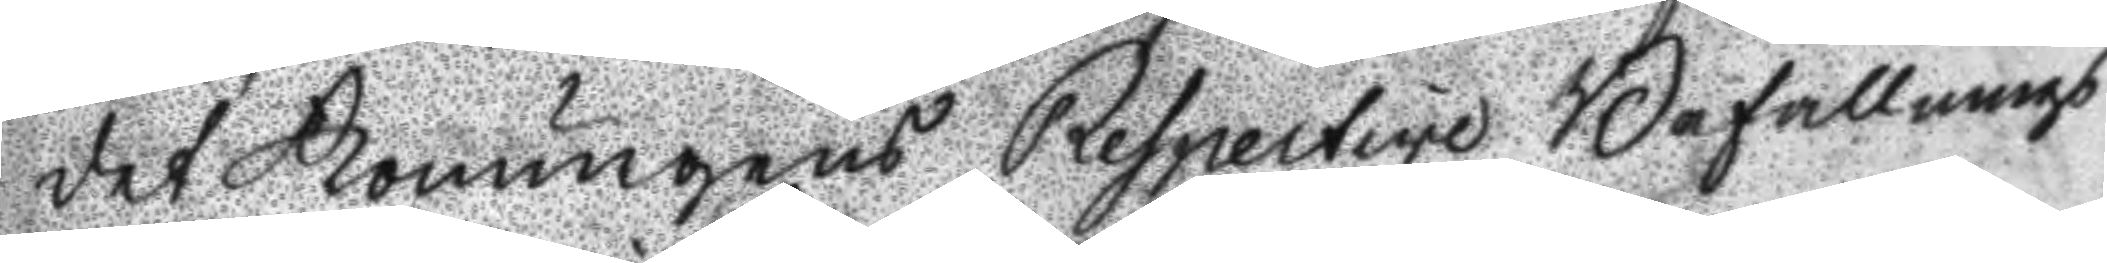det Konungens Respective Befallnings
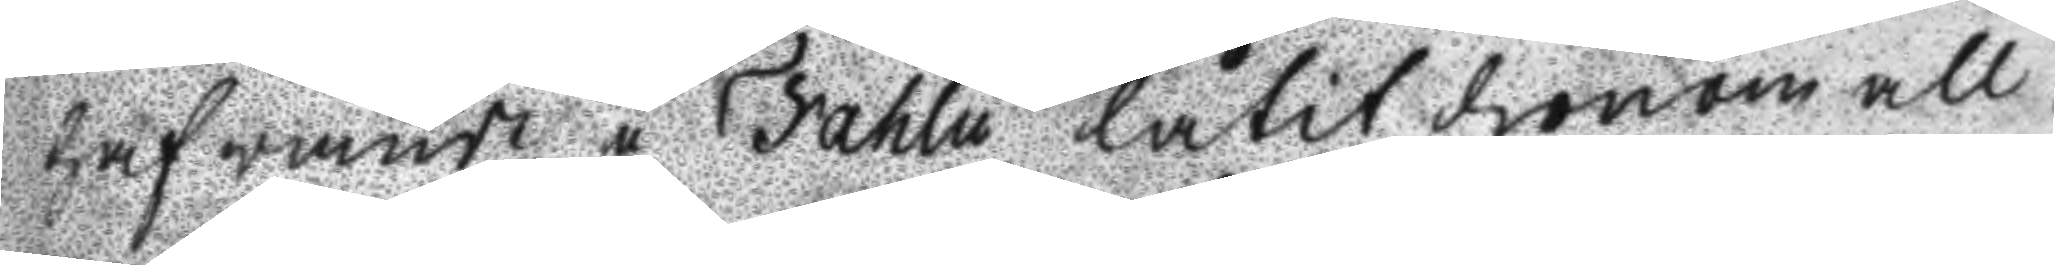hafwande u Fahlu låtit honom all
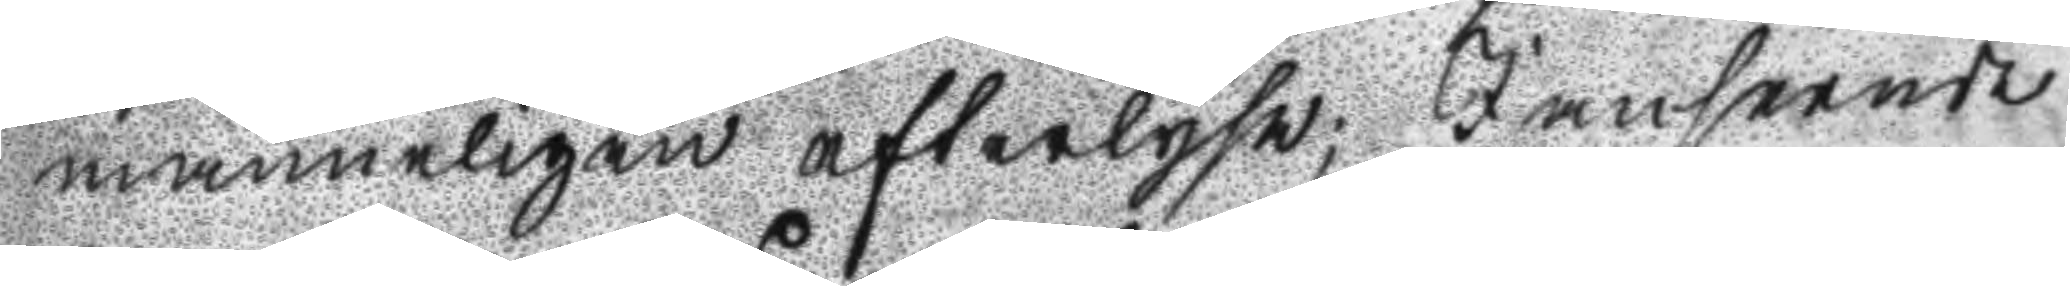männeligen efterlysa; I anseende
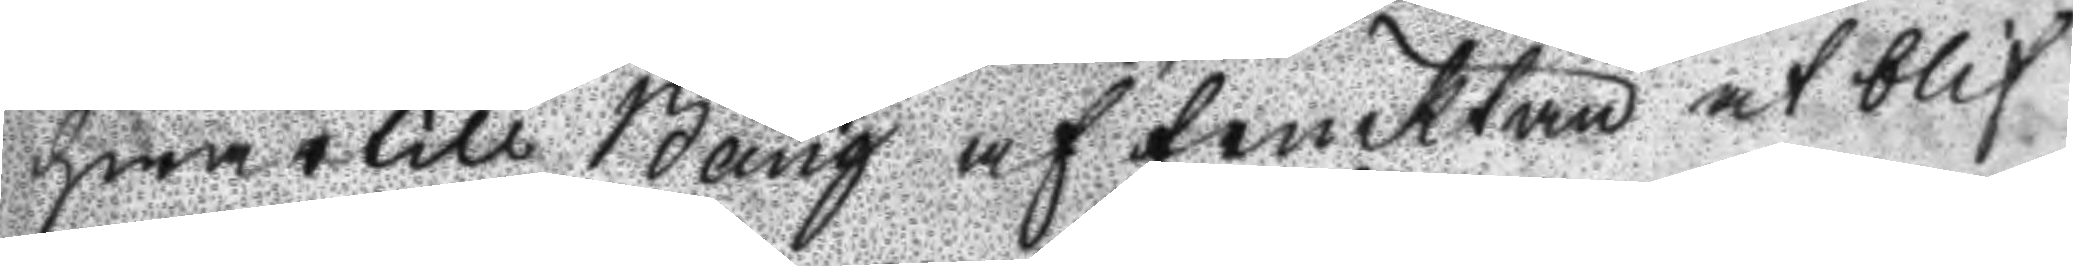hwartill Bång af frucktan at blif
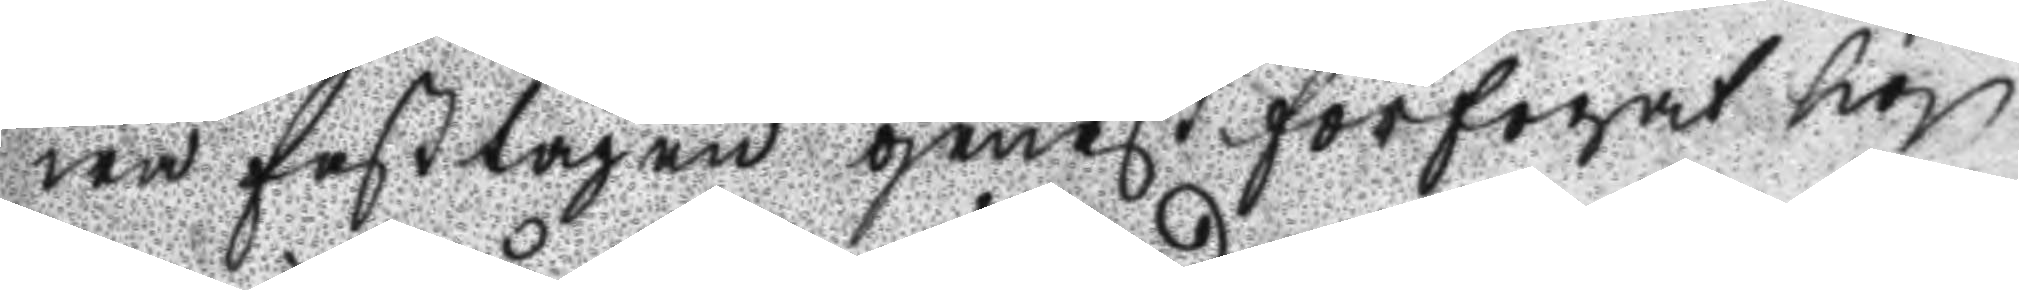wa fasttagen genast förfogat sig
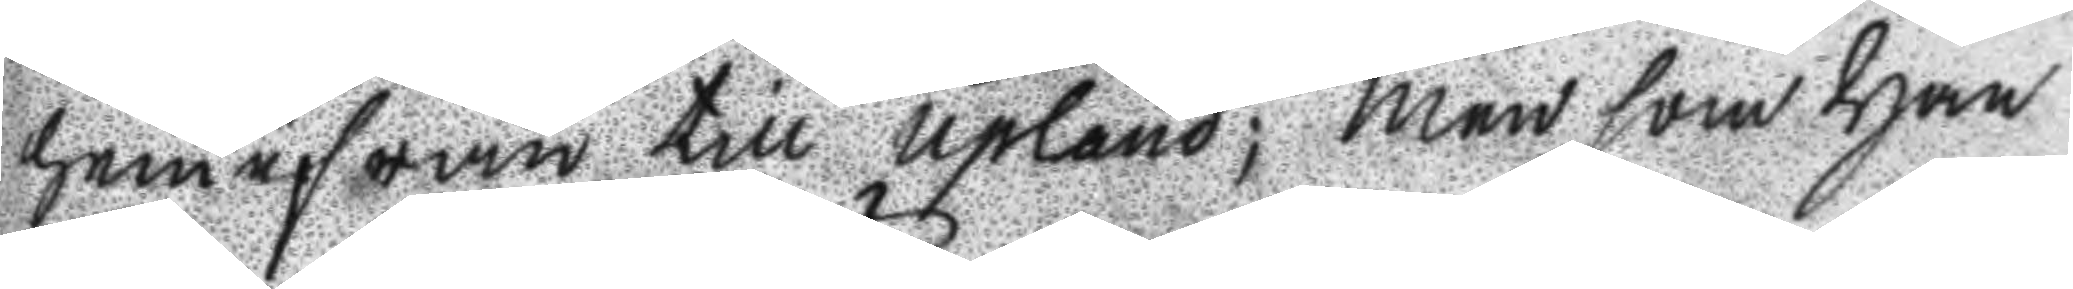hemifrån till Upland; Men som han
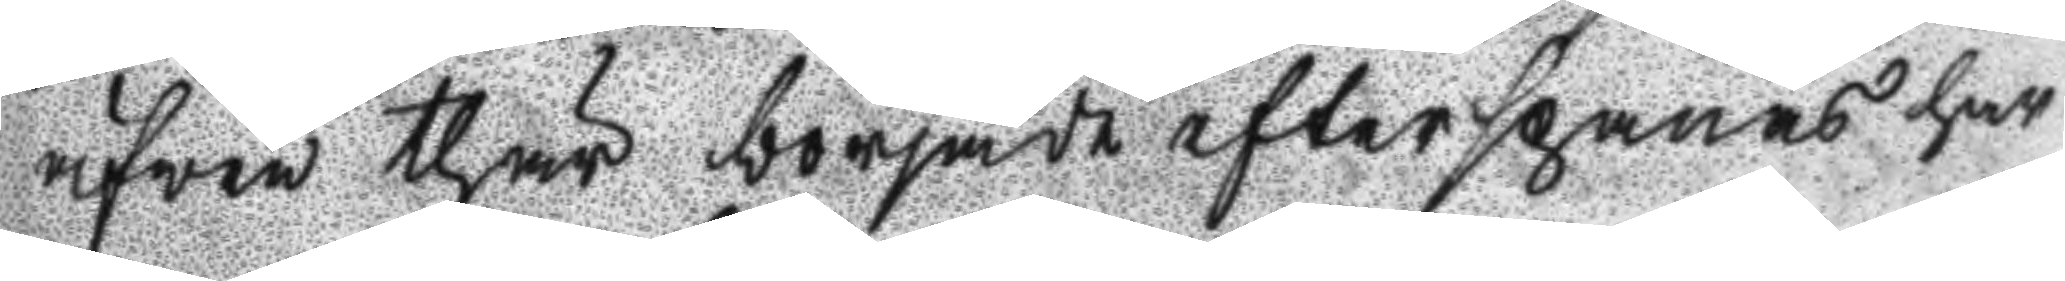äfwen thär började efterspanas har
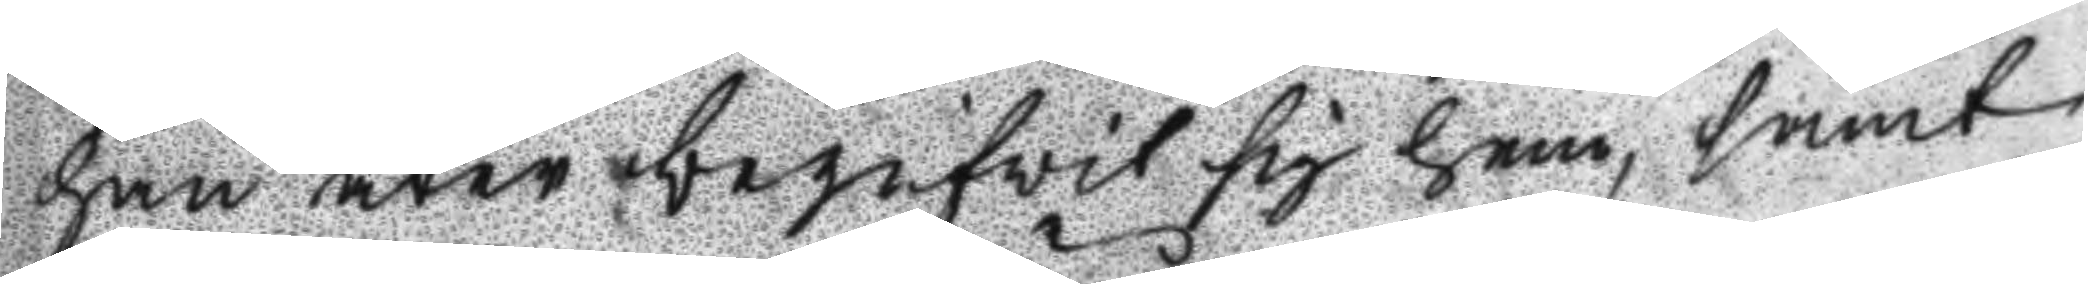han åter begifwit sig hem, samt
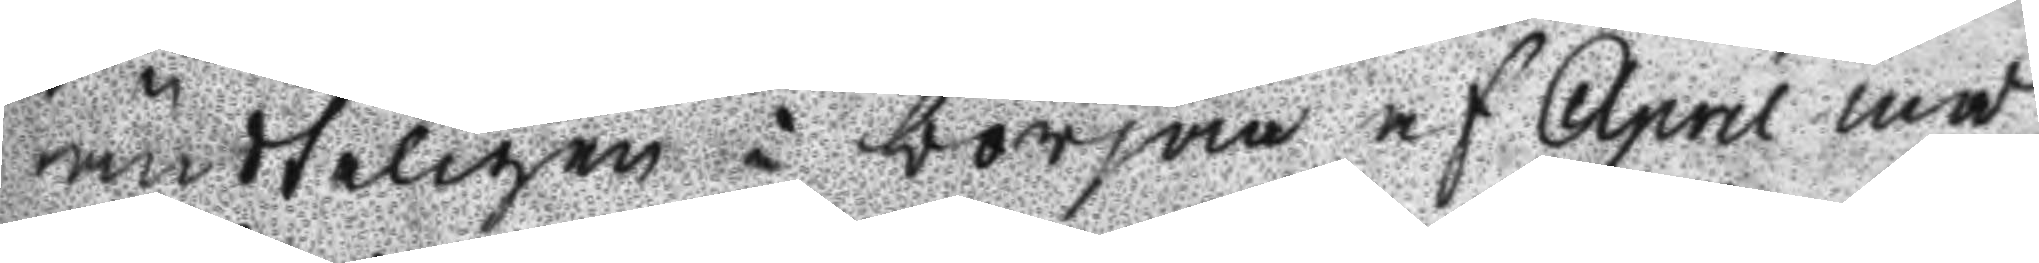ändteligen i början af April må
